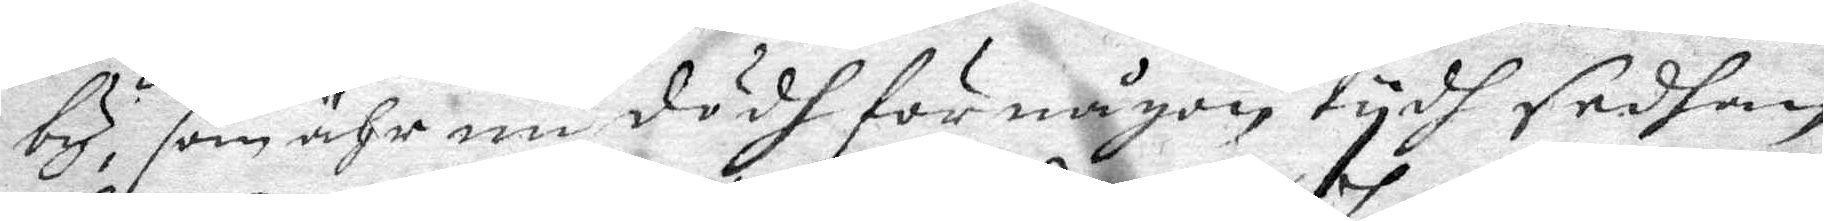by, som ähr nu dödh för någon tydh sedhan,
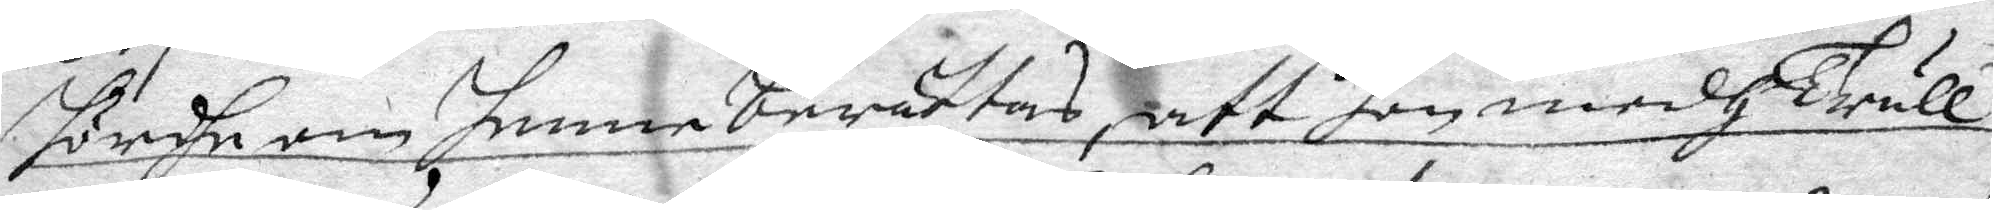hördhe om henne berättas, att hon medh Trull¬
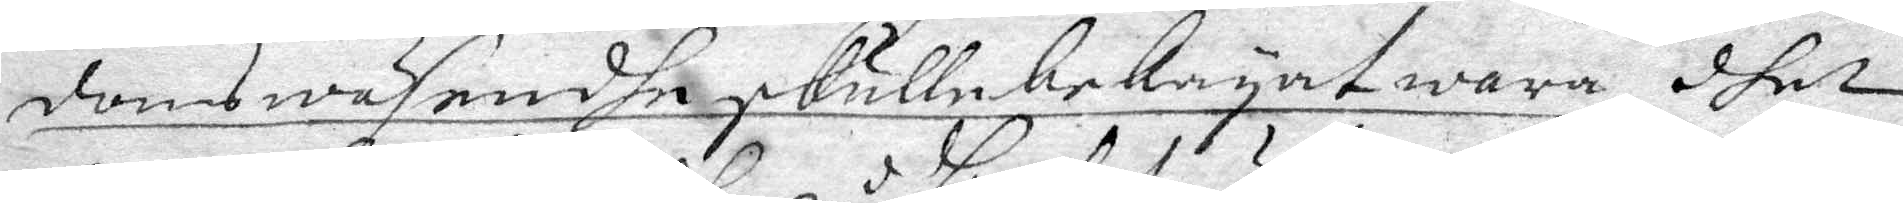doms wäsendhe skulle bekryat wara, dhet
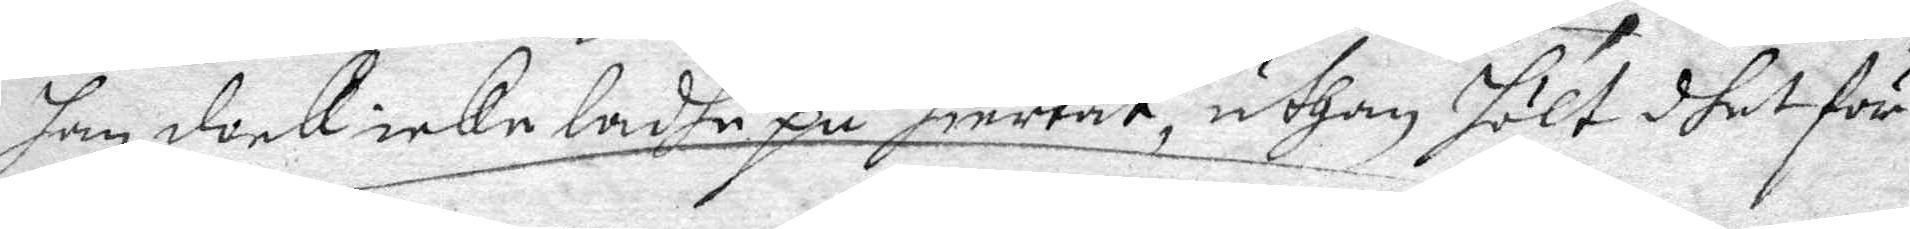han dock icke ladhe på hiertat, uthan hölt dhet för
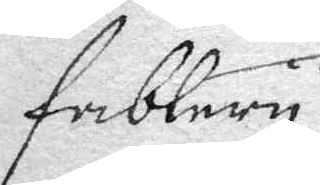fablery.
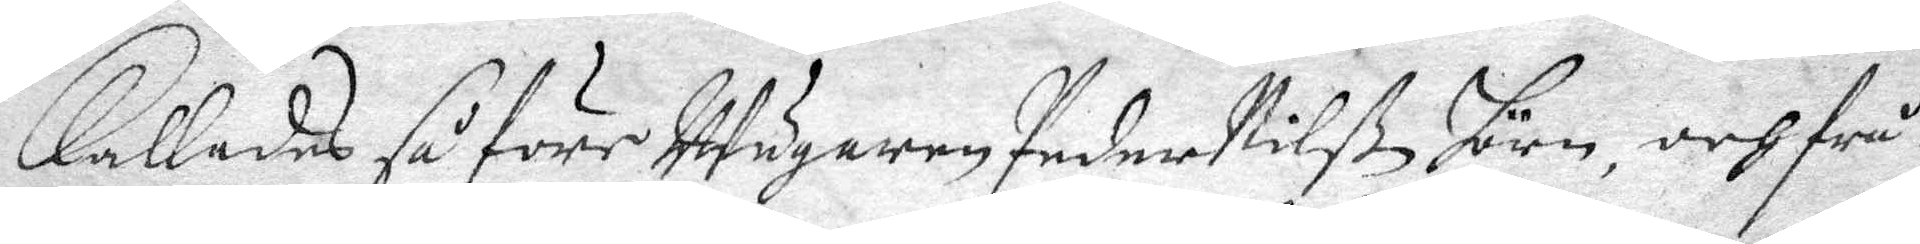Kallades så före Wägaren Peder Nilß Jörn, och frå¬
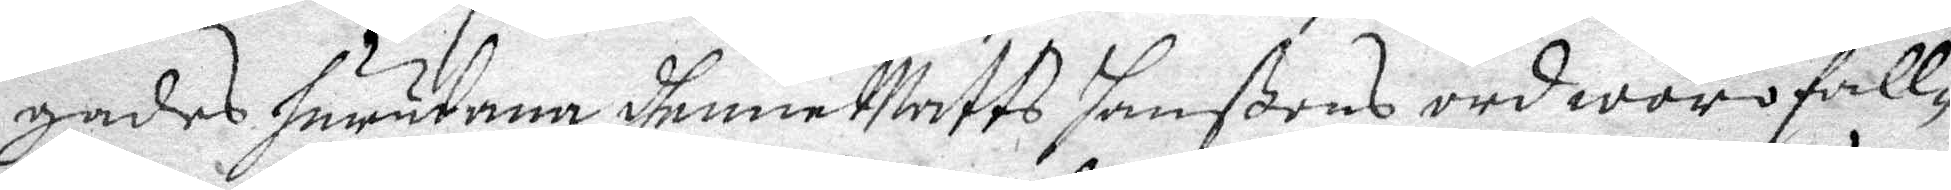gades hurudana dhenne Matts Janßons ord woro all¬
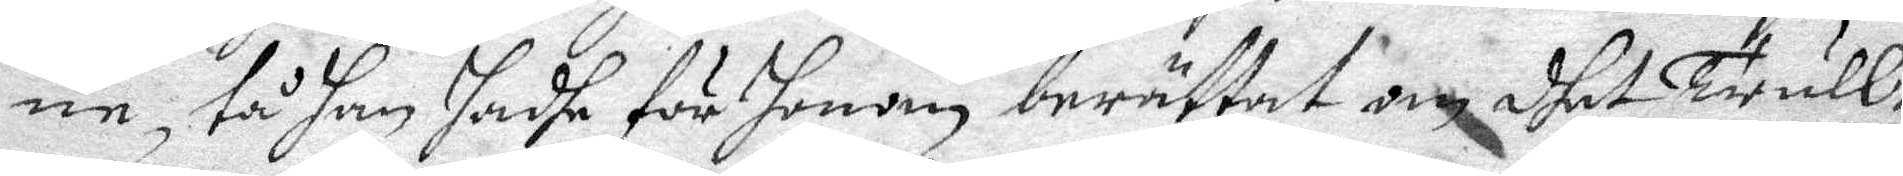ne, tå han hadhe för honom berättat om dhet Trull¬
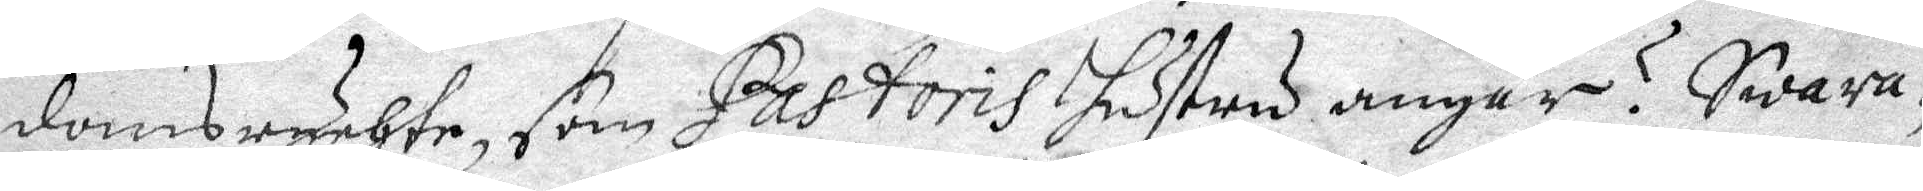domsrychte, som Pastoris hustru angår? Swara¬
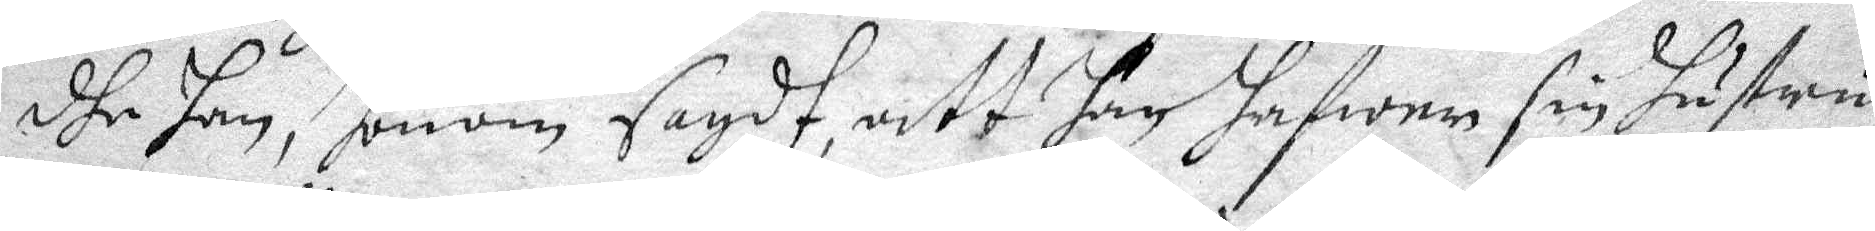dhe han, honom sagdt att han hafwer sin hustru
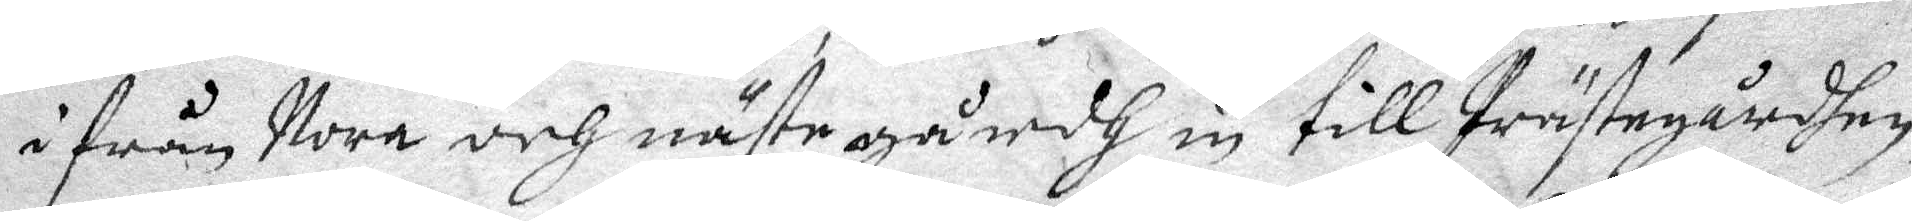ifrån Nora och näste gårdh in till Prästegårdhen
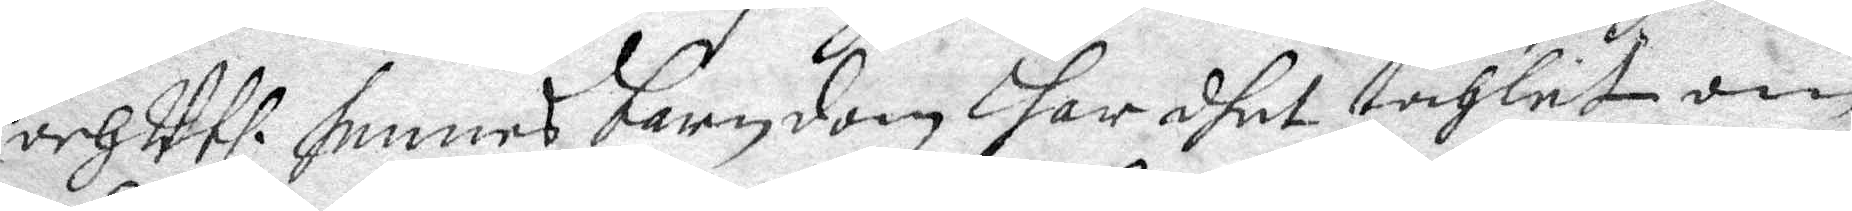ooch Uthi hennes barndom har dhet tahlet om
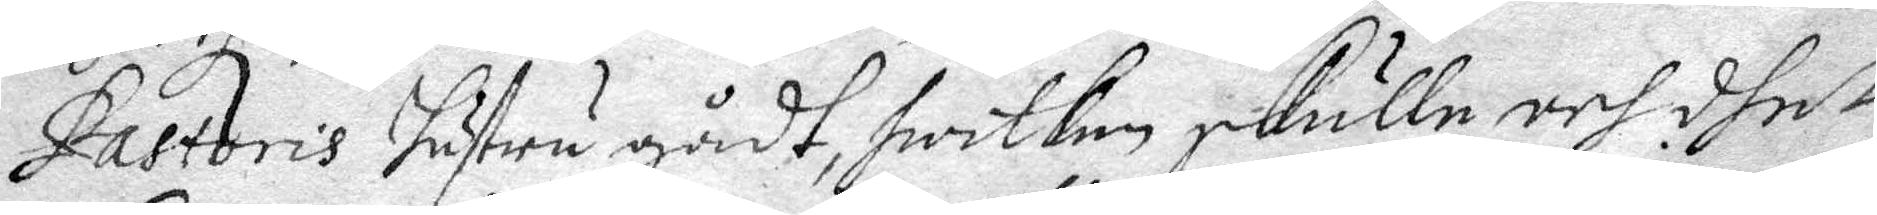Pastoris hustru gådt, hwilken skulle och dhet
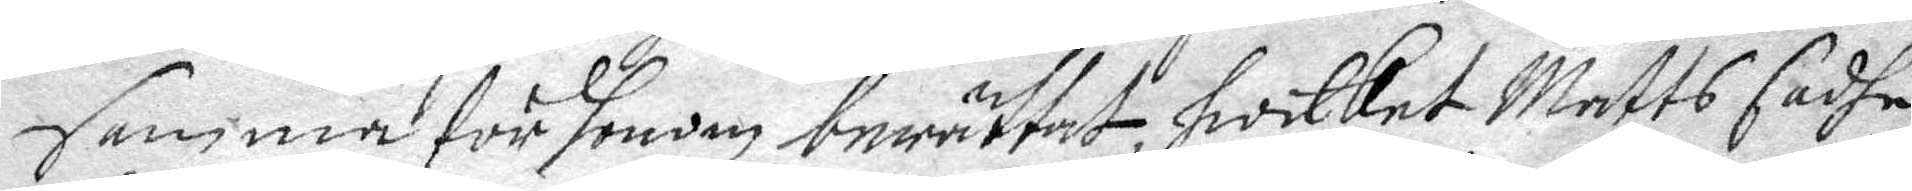samma för honom berättat, hwilket Matts sadhe
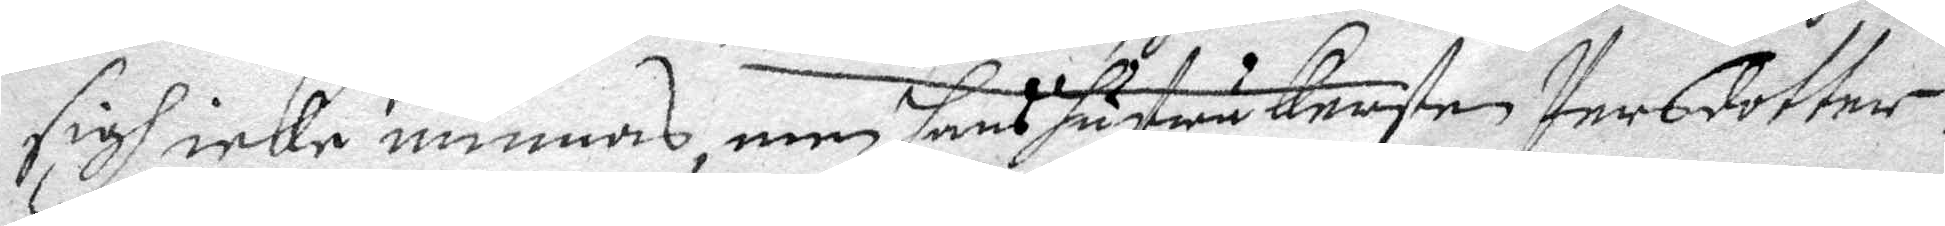sigh icke minnas, men hans hustru Kersten Persdotter
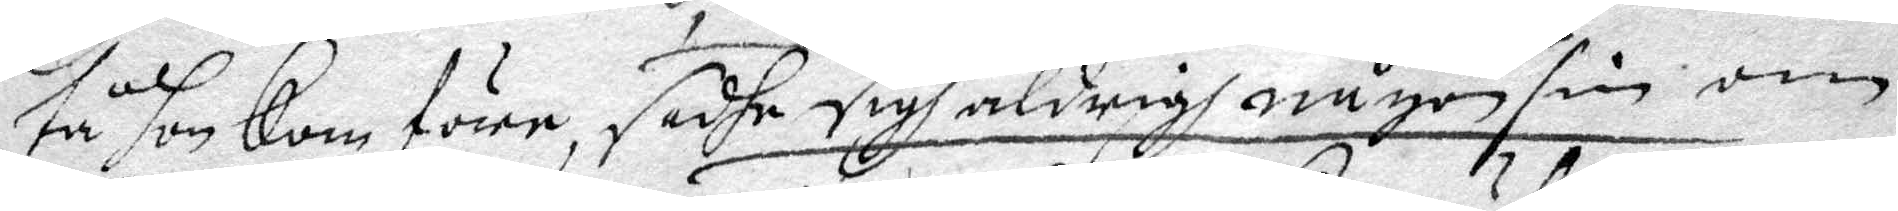tå hon kom före, sadhe sigh aldrig någonsin om
